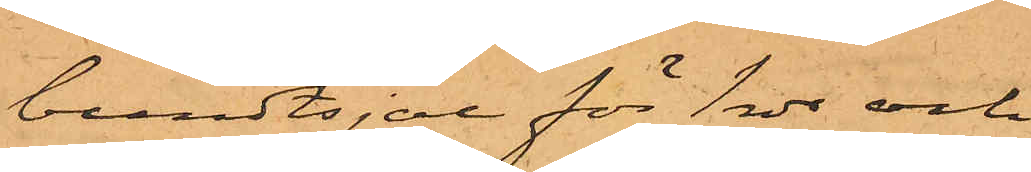bundtsjal för 1 rdr och
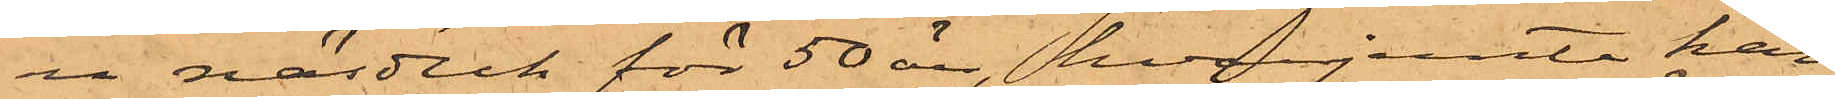en näsduk för 50 öre, hvarjemte han
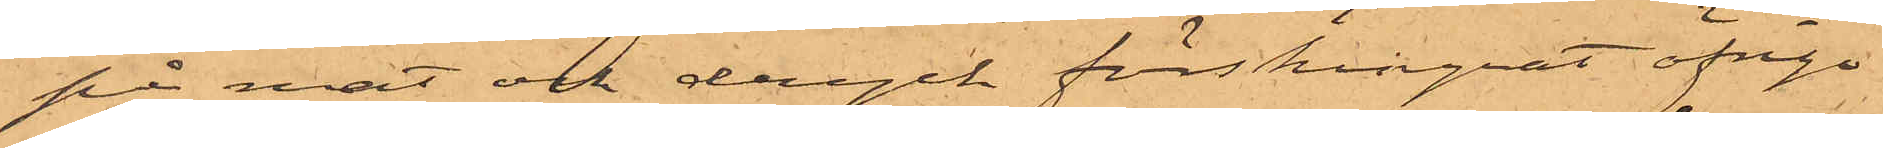på mat och dryck förskingrat öfrige
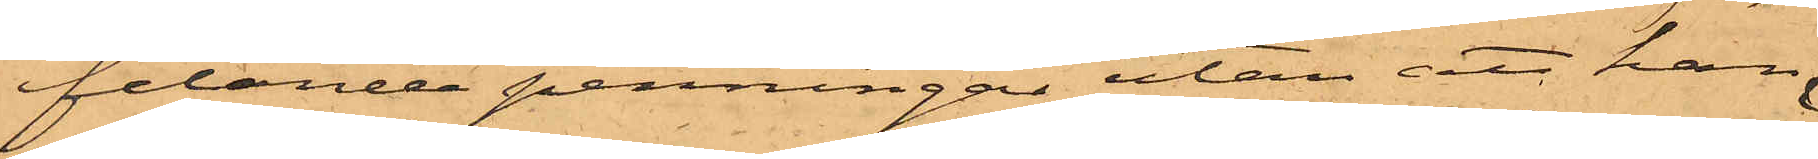felande penningar utan att han
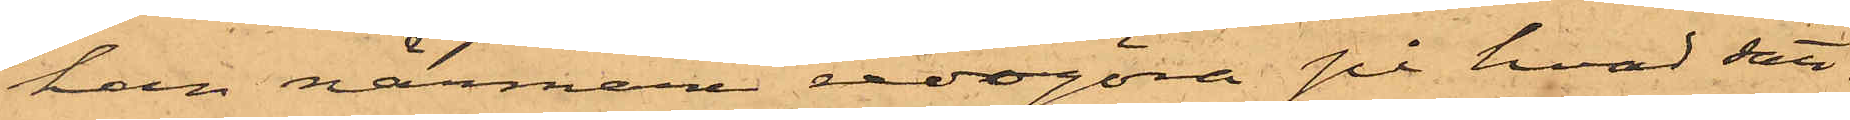han närmare redogöra på hvad sätt.
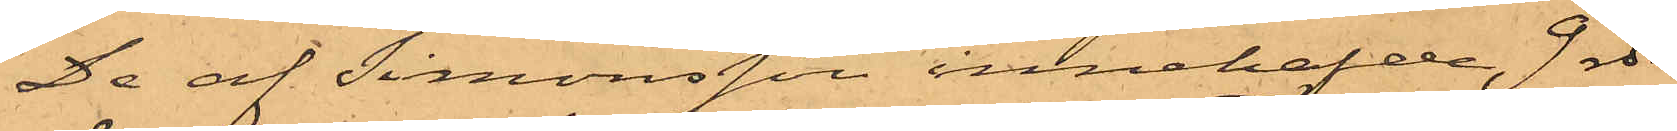De af Simonsson innehafde 9 rdr
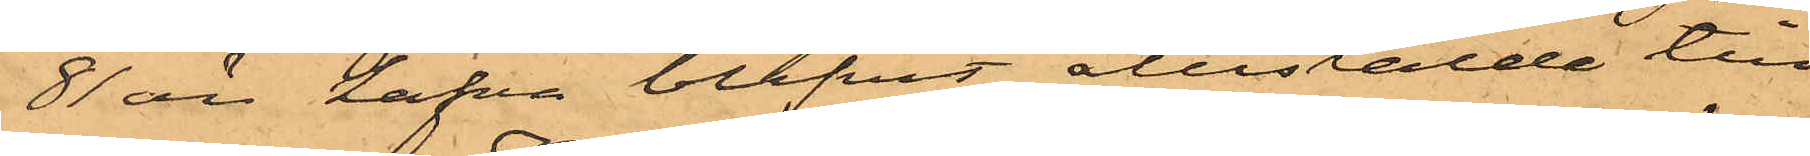81 öre hafva blifvit återstälde till¬
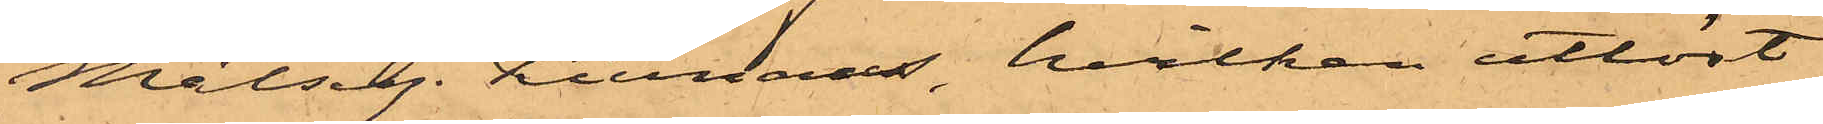Målseg. Kiernaas, hvilken utlöst
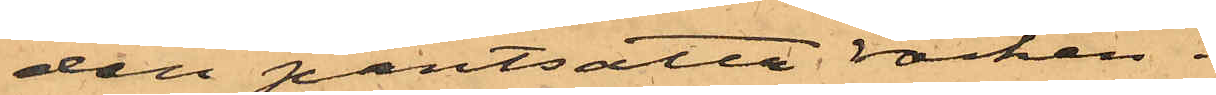den pantsatte rocken.
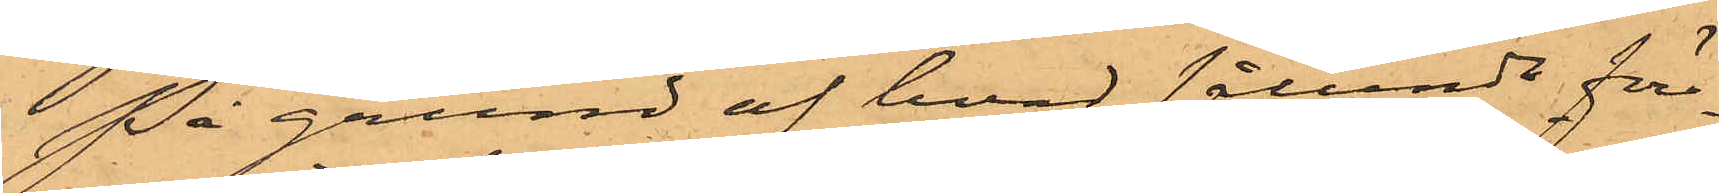På grund af hvad sålunda före¬
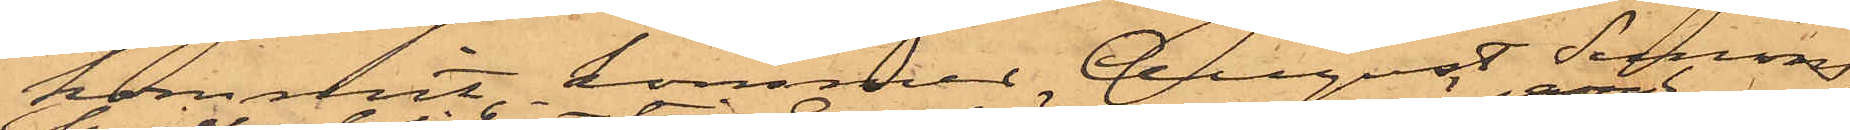kommit, kommer August Simon¬
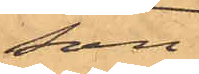son
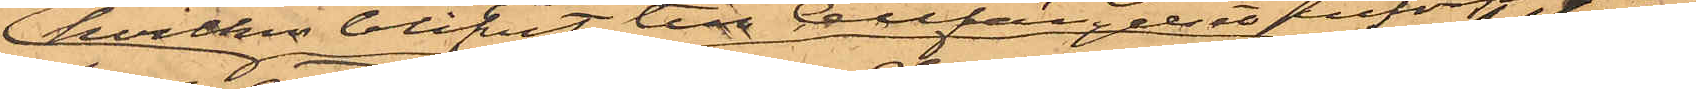hvilken blifvit till Cellfängelset införpassad
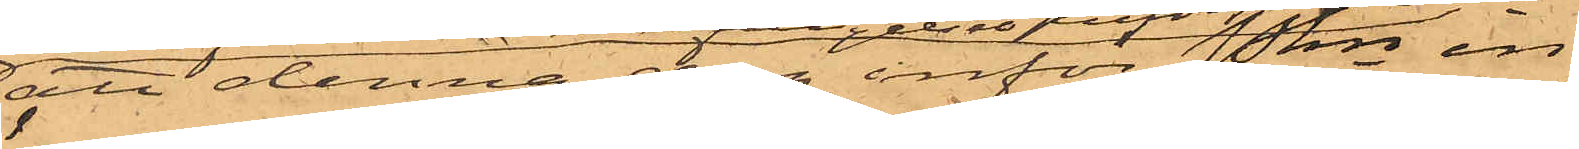att denna dag inför in¬
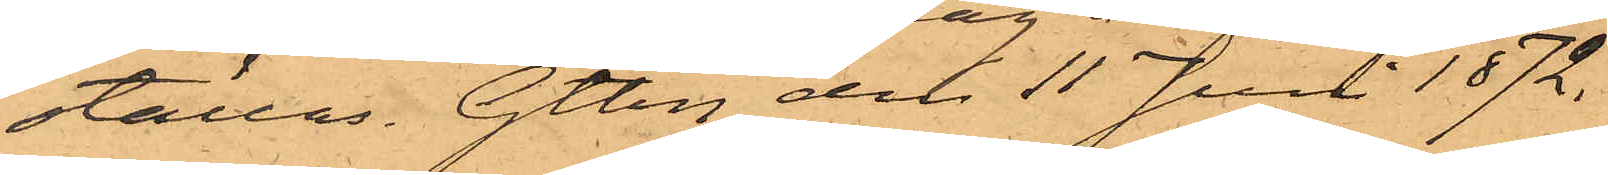ställas. Gtbg den 11 Juni 1872.
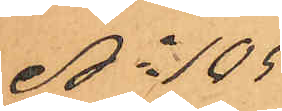No 105
